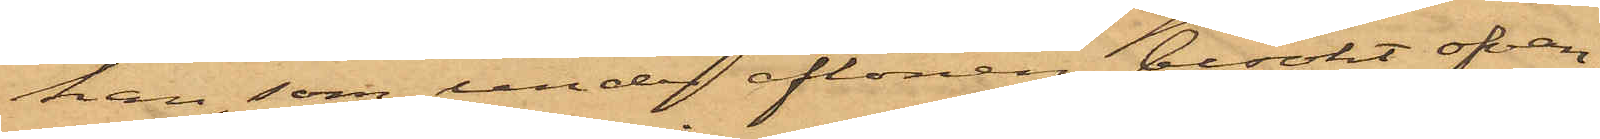han, som under aftonen besökt ofvan¬
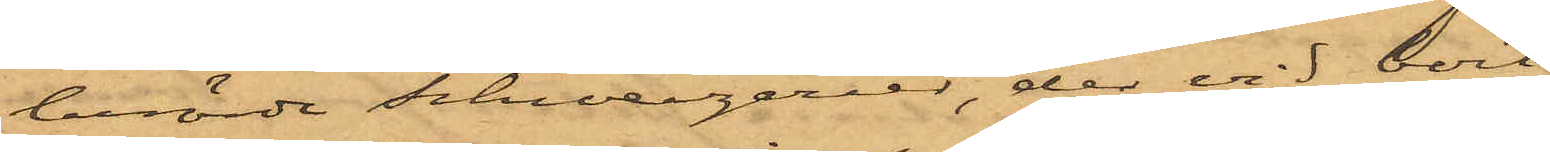berörde schweizerier, der vid bort¬
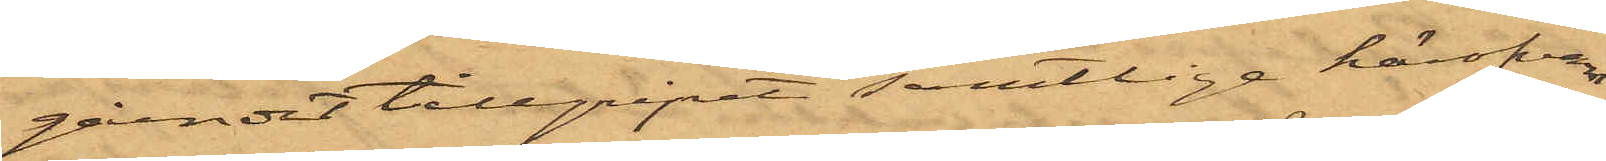gåendet tillgripit samtlige härofvan¬
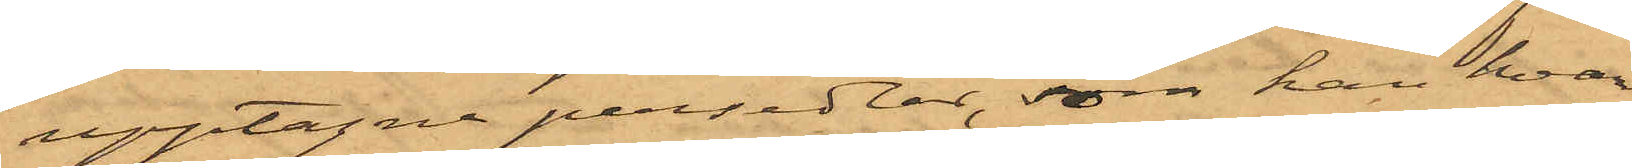upptagne persedlar, som han hvar
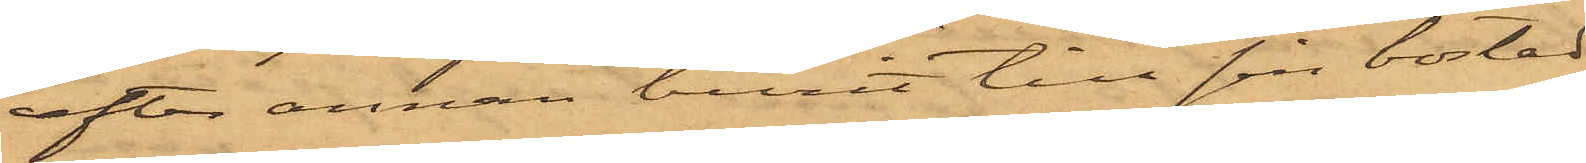efter annan burit till sin bostad
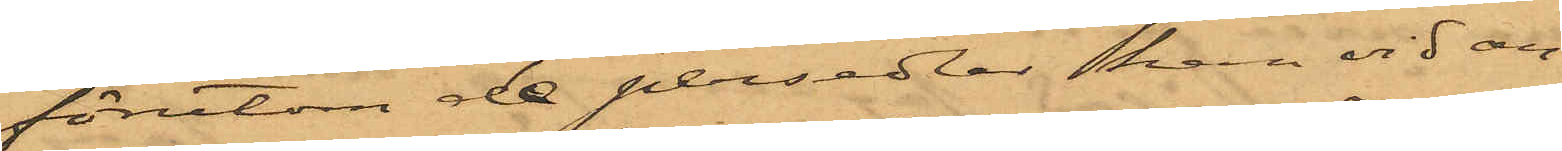förutom de persedlar han vid an¬
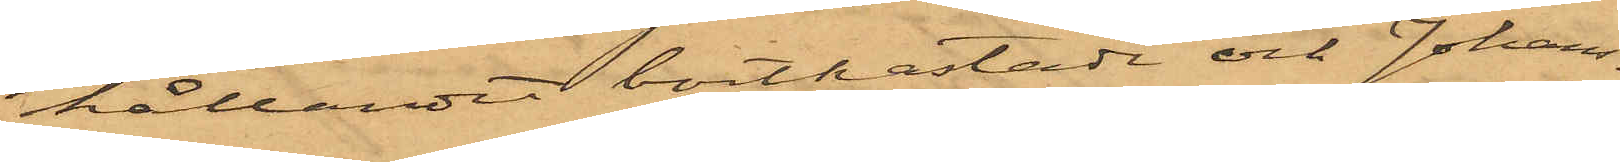hållandet bortkastade och Johans¬
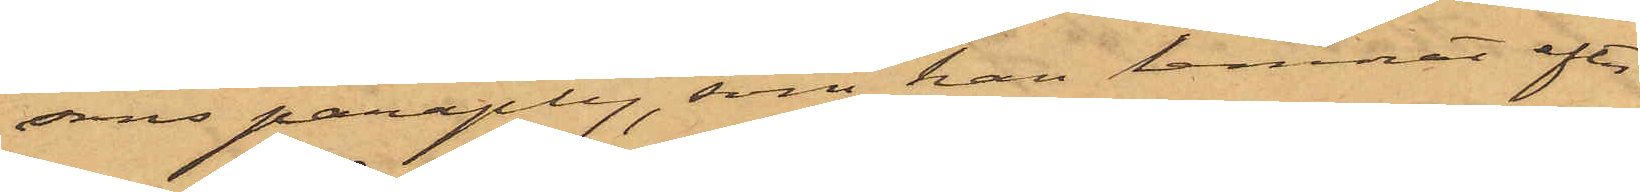sons paraply, som han lemnat efter
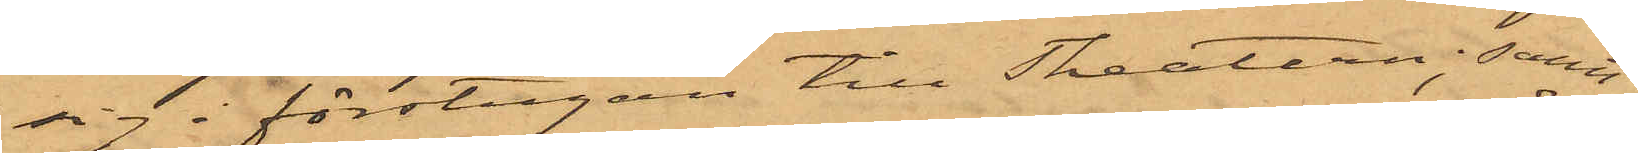sig i förstugan till Theatern; samt
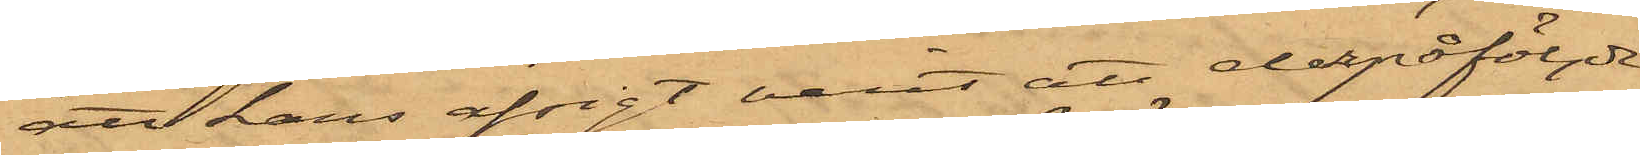att hans afsigt varit att depåföljde
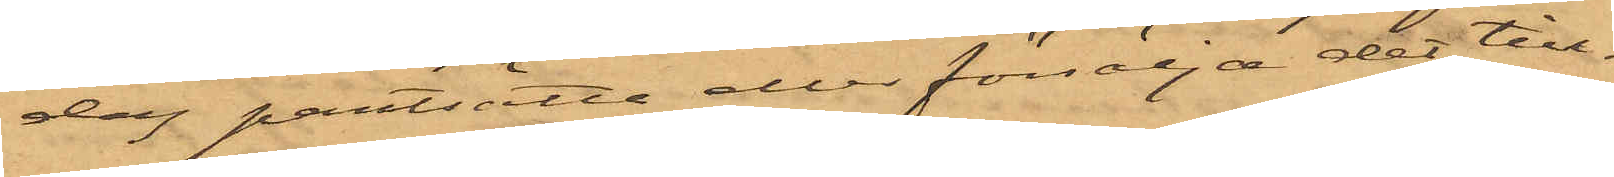dag pantsätta eller försälja det till¬
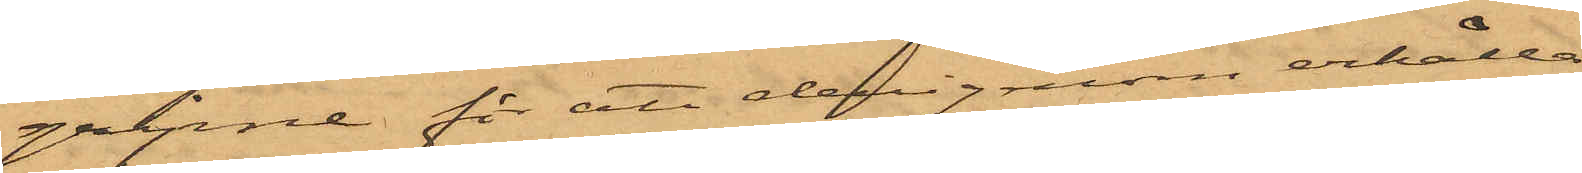gripne för att derigenom erhålla
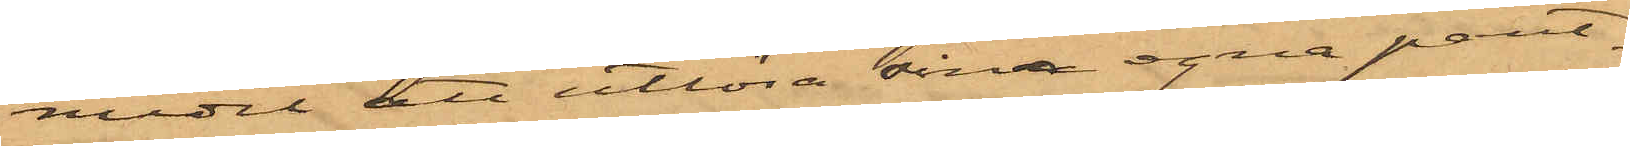medel att utlösa sina egna pant¬
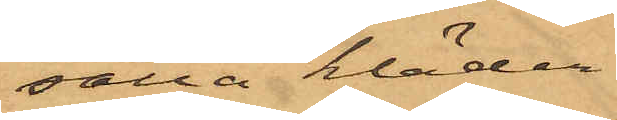satta kläder.
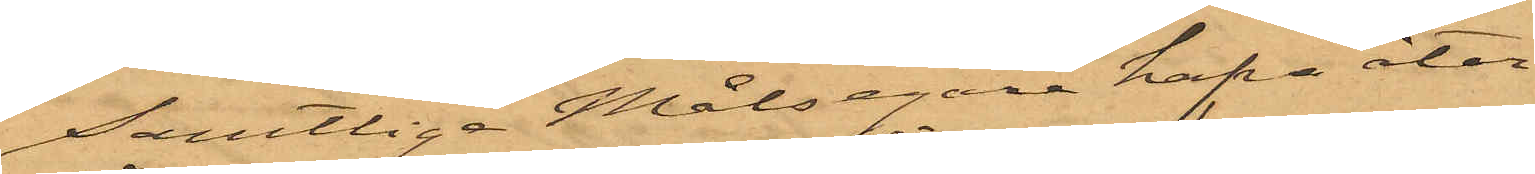Samtlige Målsegare hafva åter¬
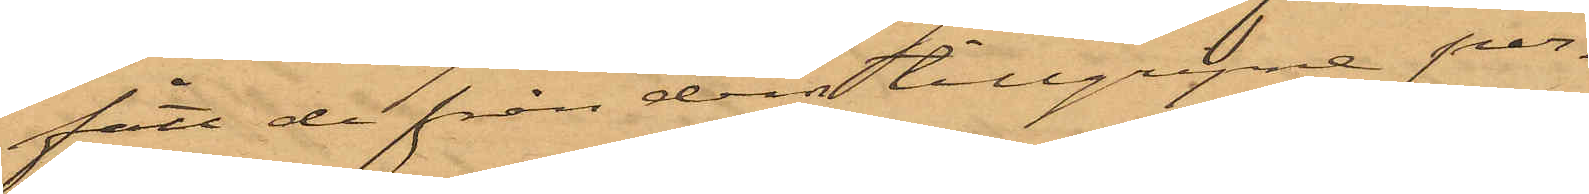fått de från dem tillgripne per¬
